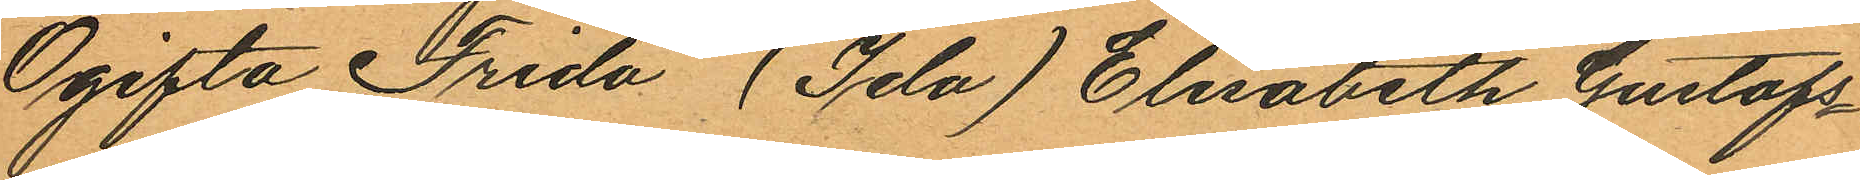Ogifta Frida (Ida) Elisabeth Gustafs¬
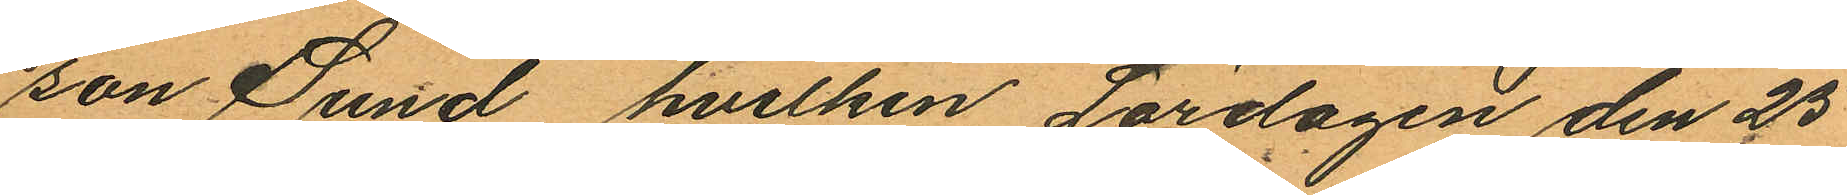son Sund, hvilken Lördagen den 25
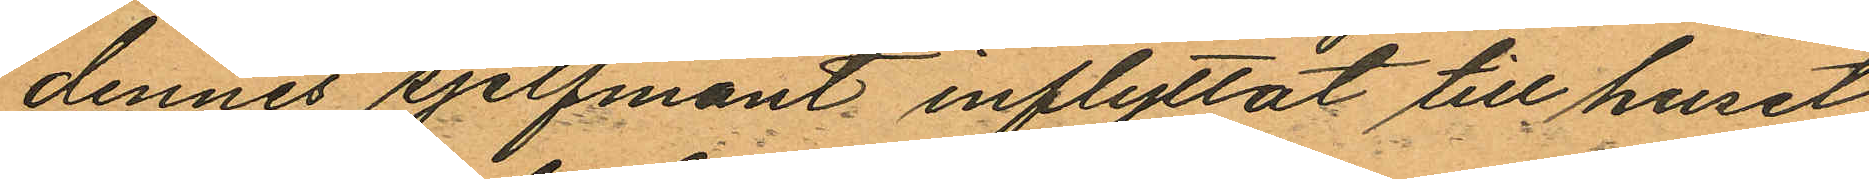dennes sjelfmant inflyttat till huset
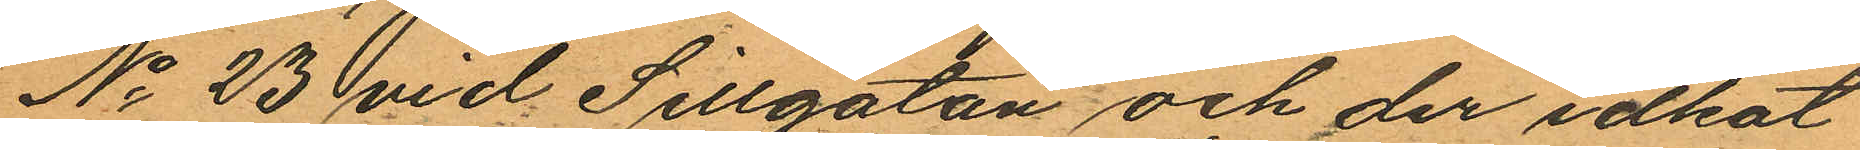No 23 vid Sillgatan och der idkat
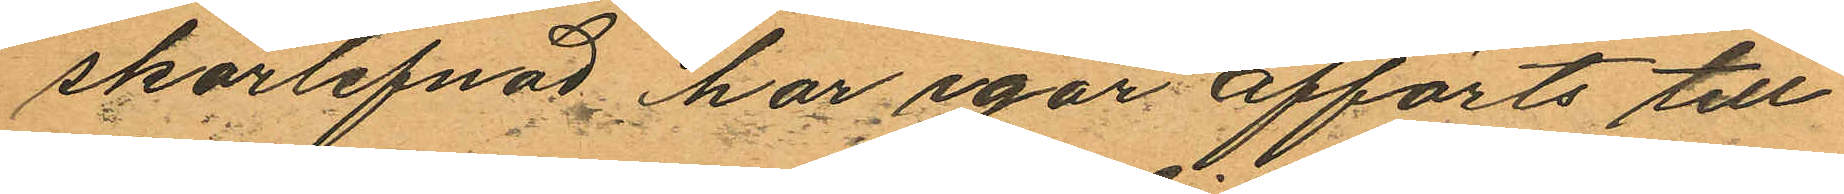skörlefnad har igår afförts till
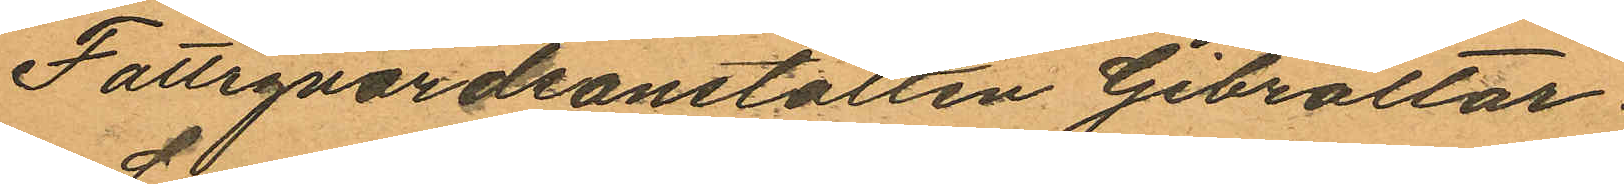Fattigvårdsanstalten Gibraltar.
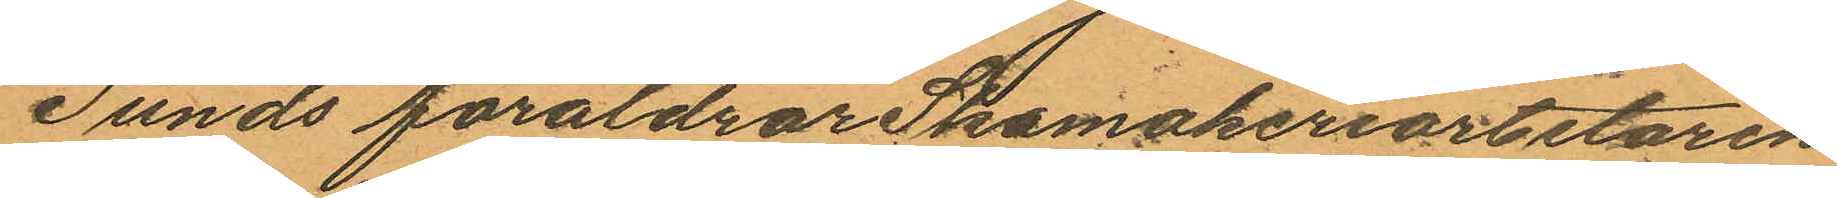Sunds föräldrar Skomakeriarbetaren
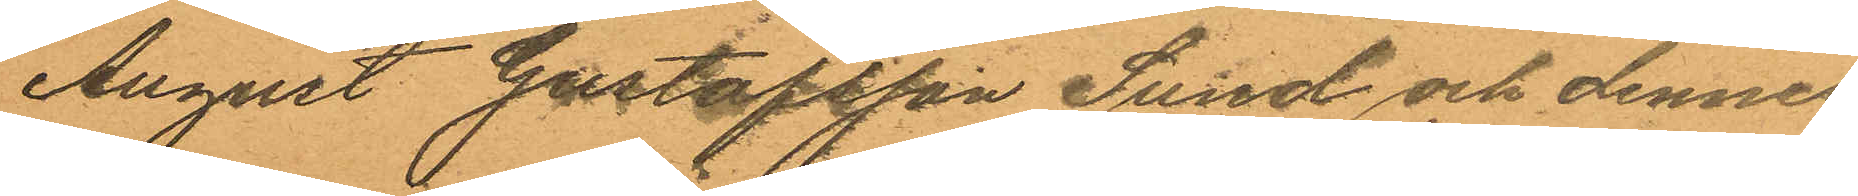August Gustafsson Sund och dennes
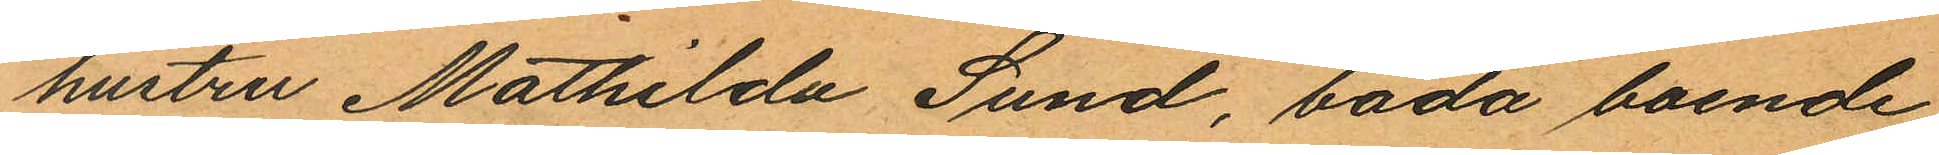hustru Mathilda Sund, båda boende
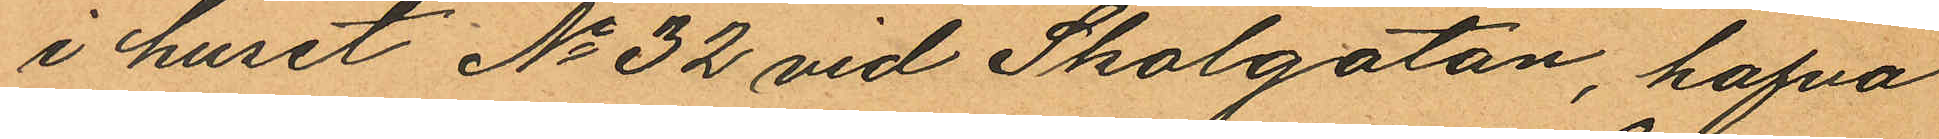i huset No 32 vid Skolgatan, hafva
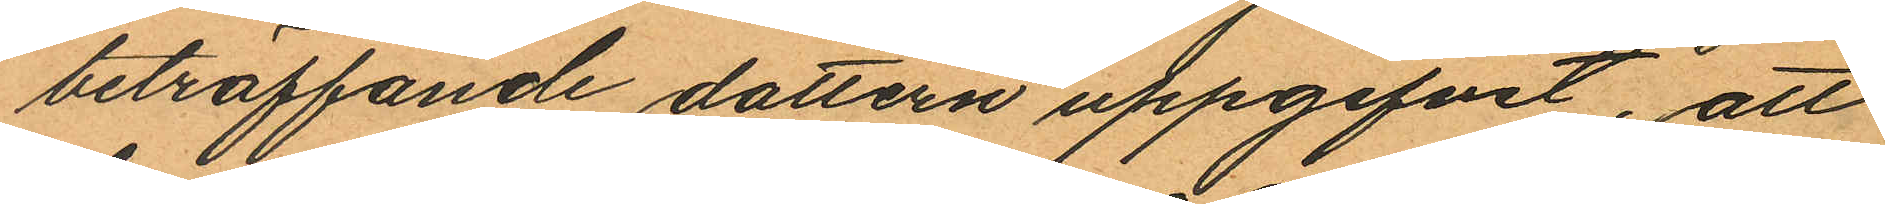beträffande dottern uppgifvit, att
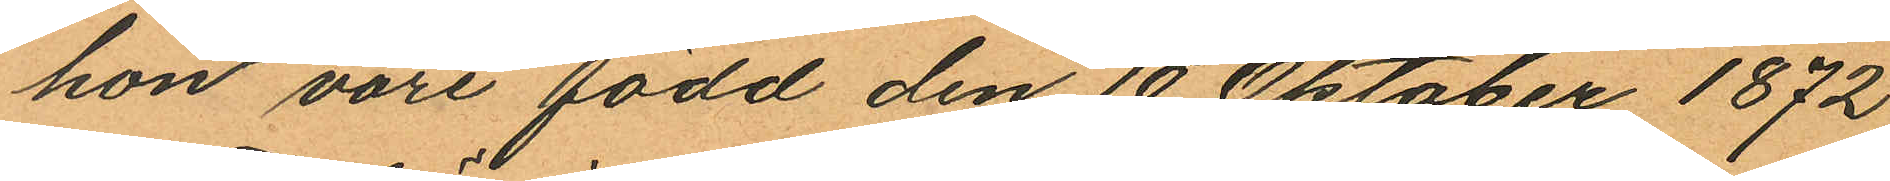hon vore född den 10 Oktober 1872
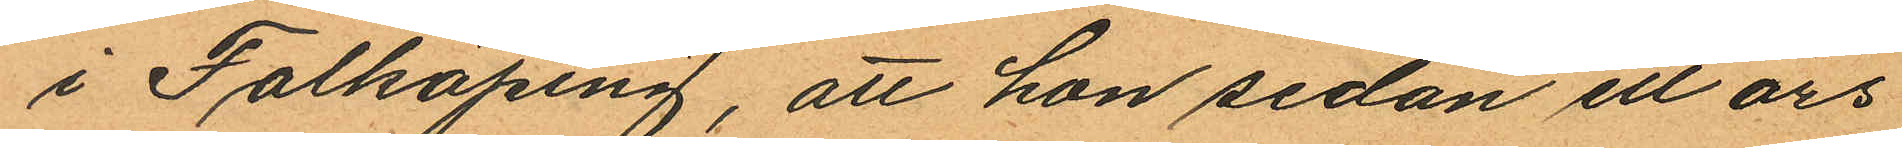i Falköping, att hon sedan ett års
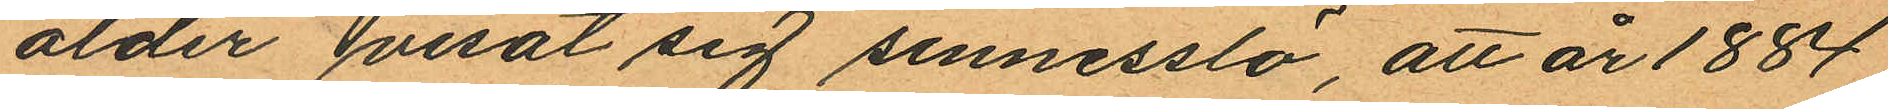ålder visat sig sinnesslö, att år 1884
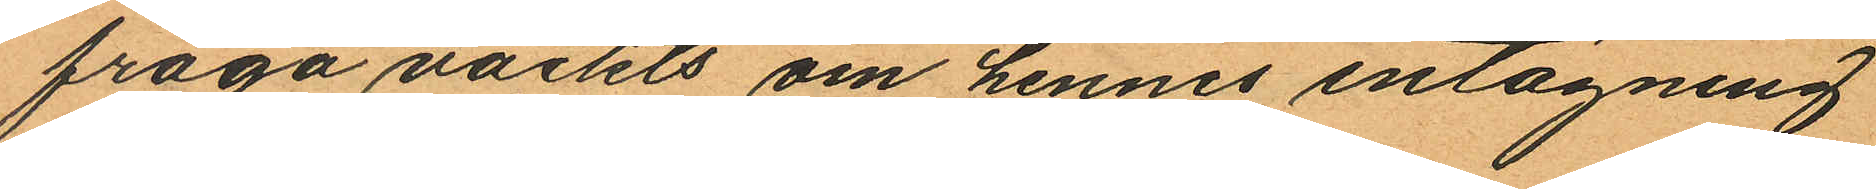fråga väckts om hennes intagning
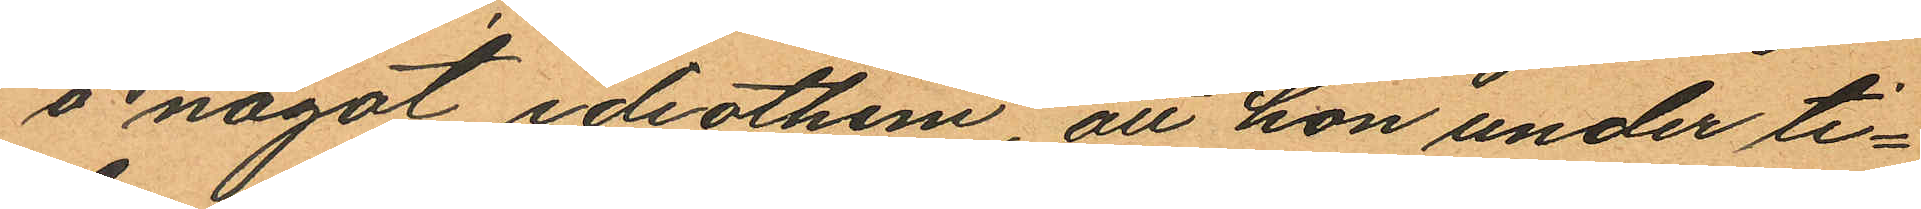å något idiothem att hon under ti¬
